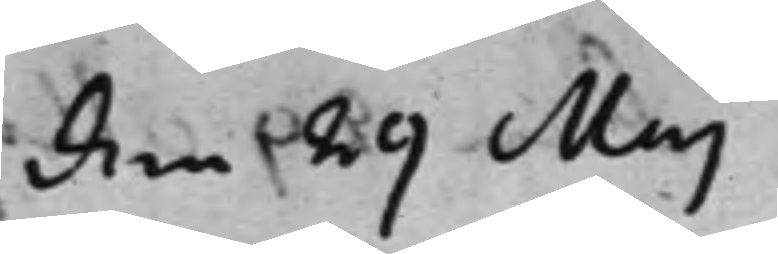den 29 Maj
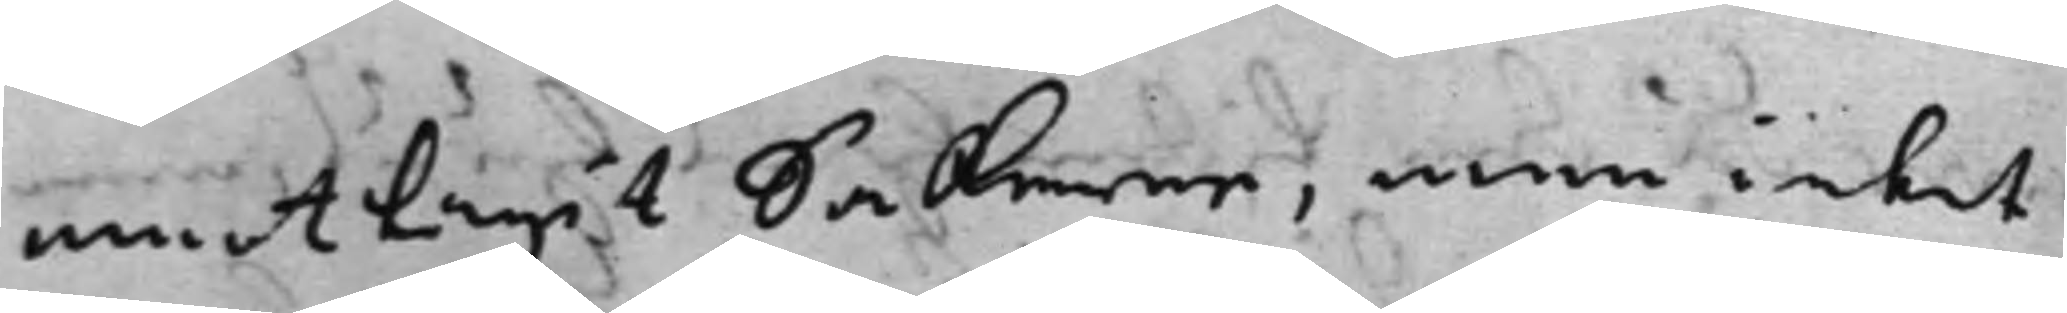emottagit Sakerne, men intet
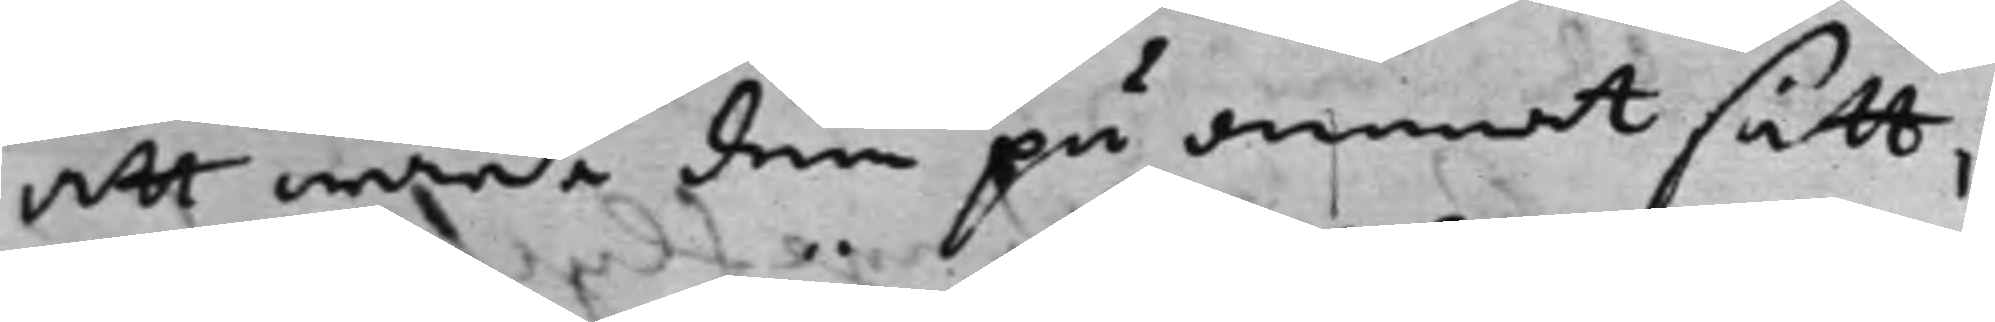att wårda dem på annat sätt,
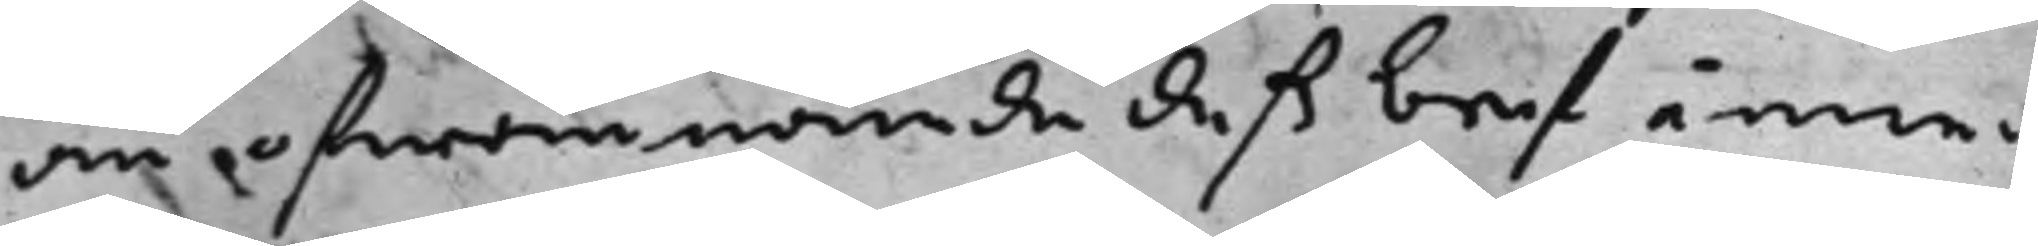än ofwannämde deß bref inne¬
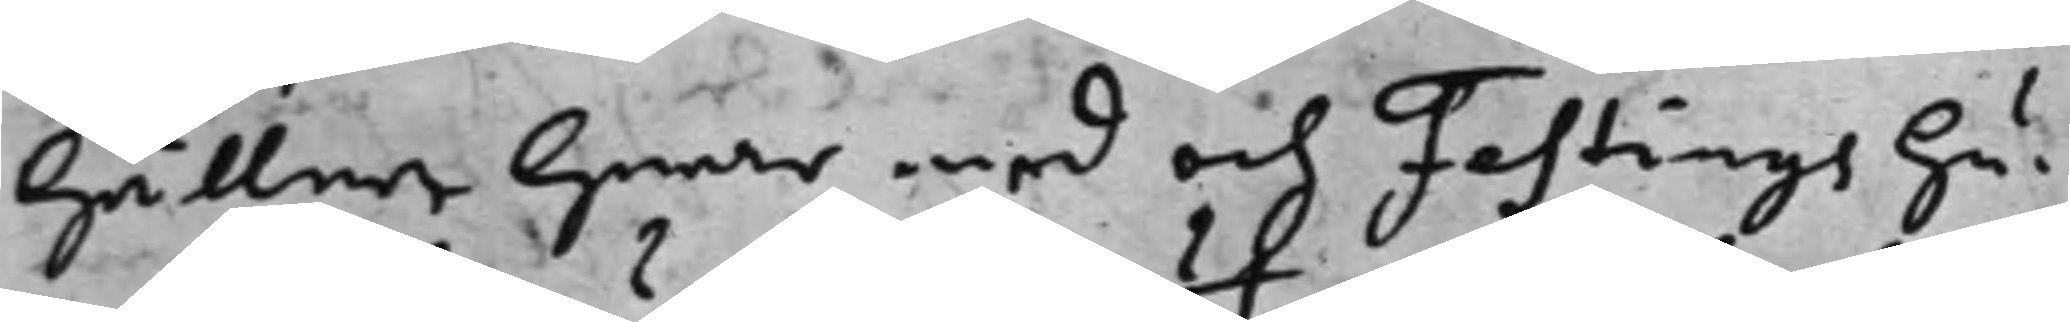håller hwar med och Festings hu¬
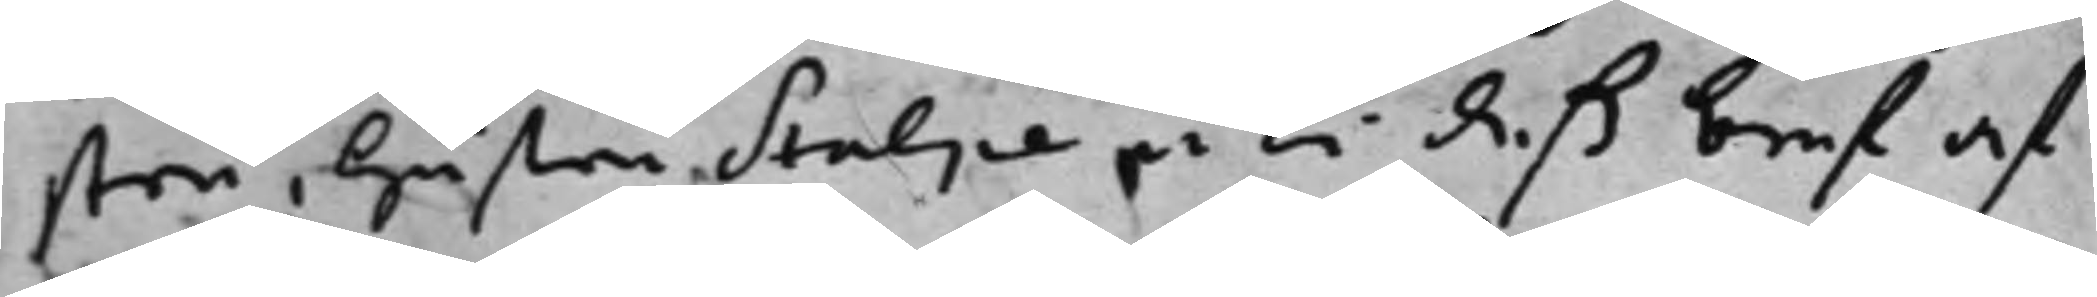stru, hustru Stolpe uti deß bref af
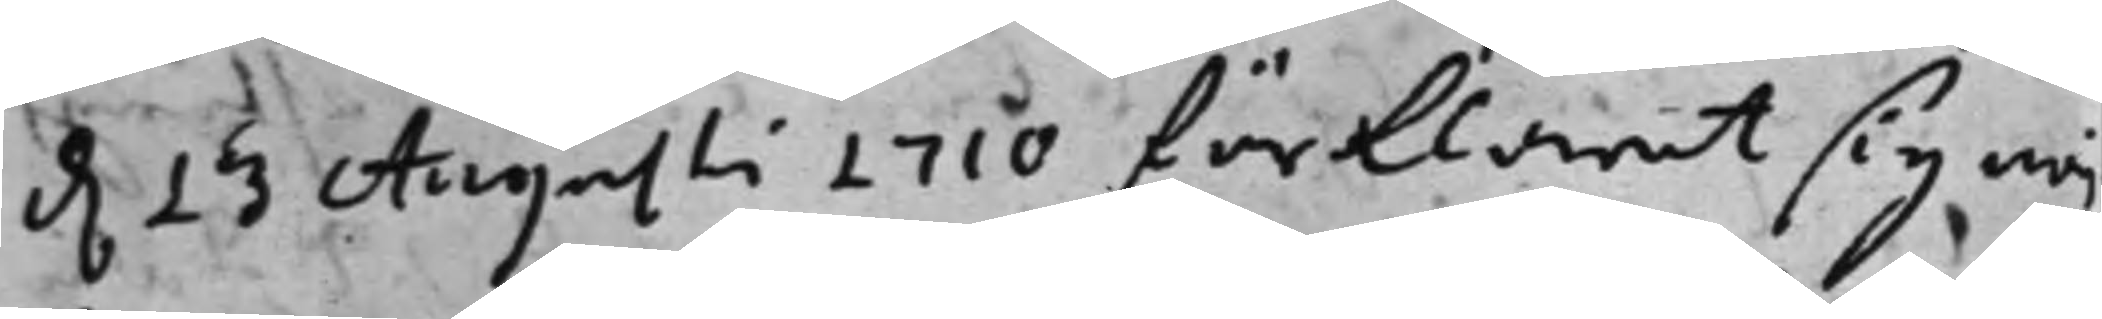d. 13 Augusti 1710 förklarat sig nöj¬ 
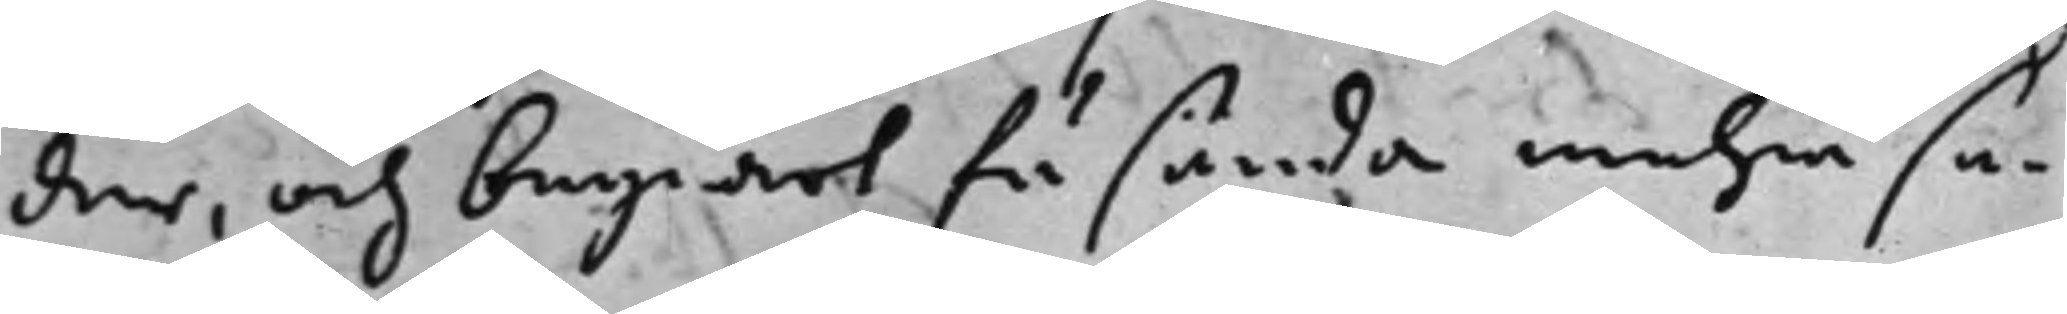der, och begiärt få sända mehra sa¬
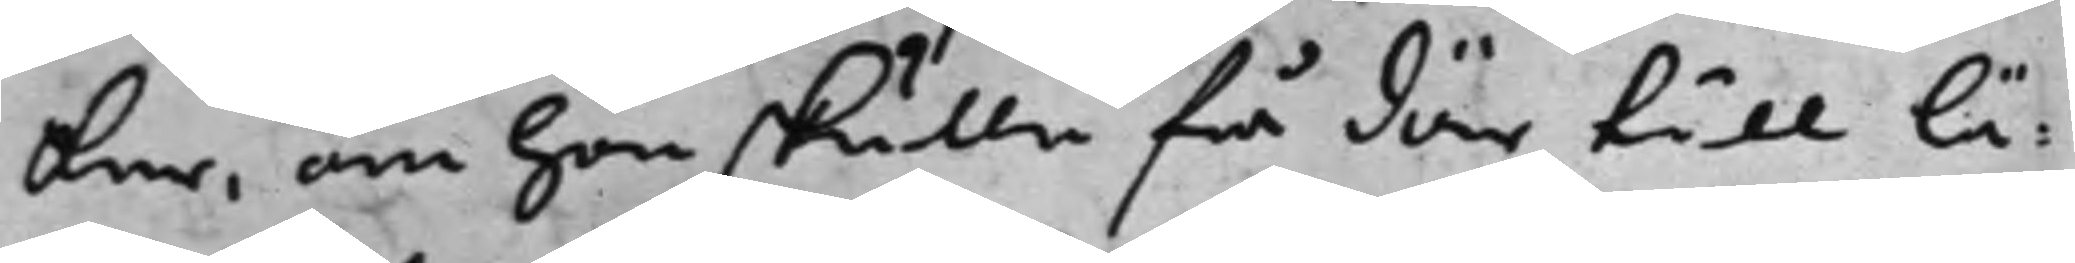ker, om hon skulle få där till lä¬
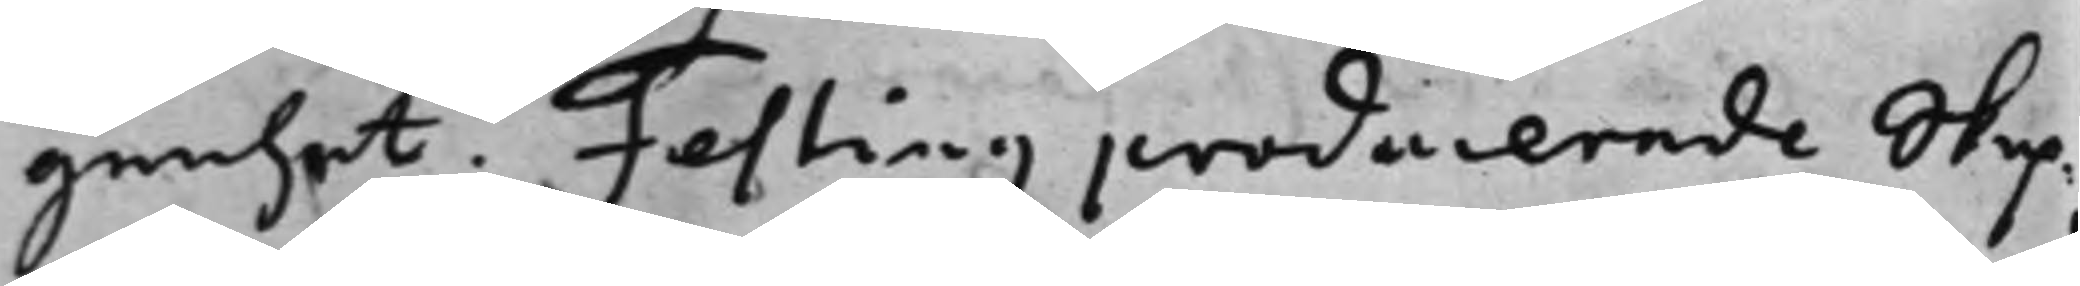genhet. Festing producerade Skep¬
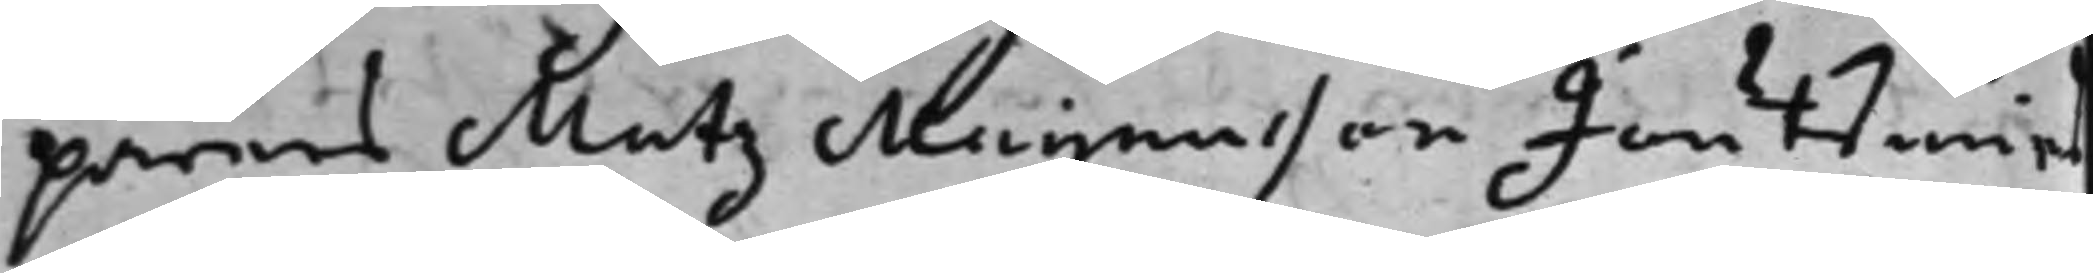parens Matz Magnusson Joutzenius
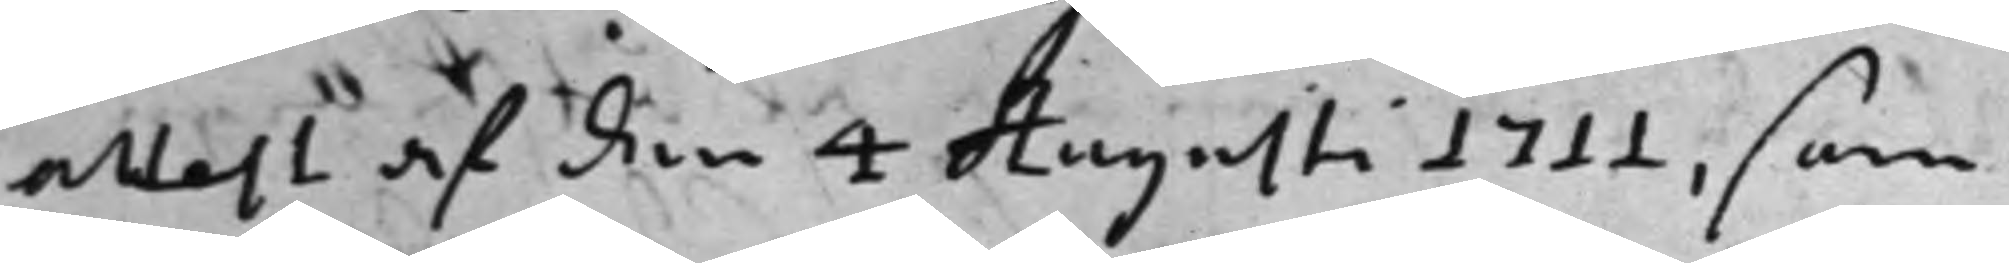attest af den 4 Augusti 1711, som 
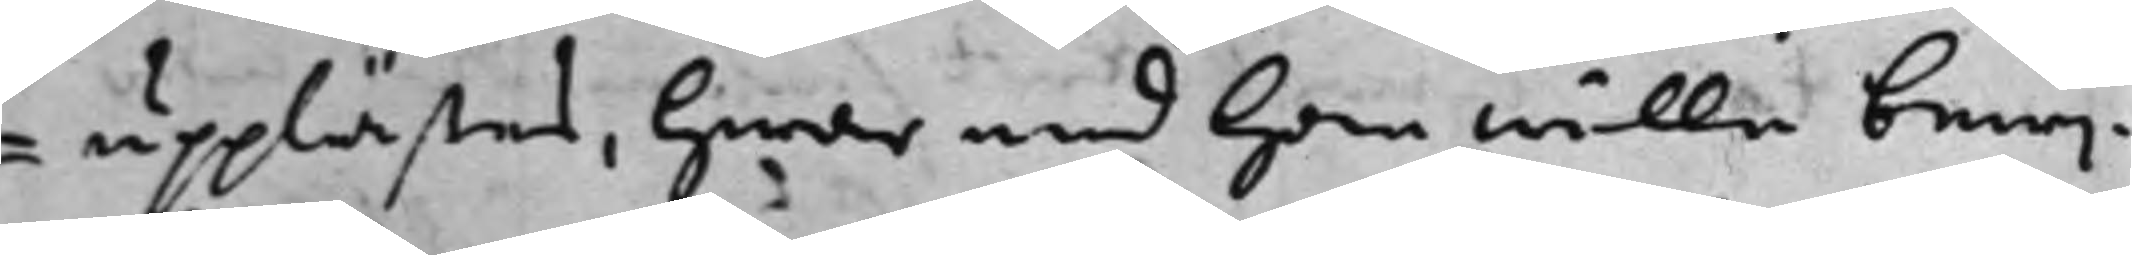 upplästes, hwar med han wille bewij¬
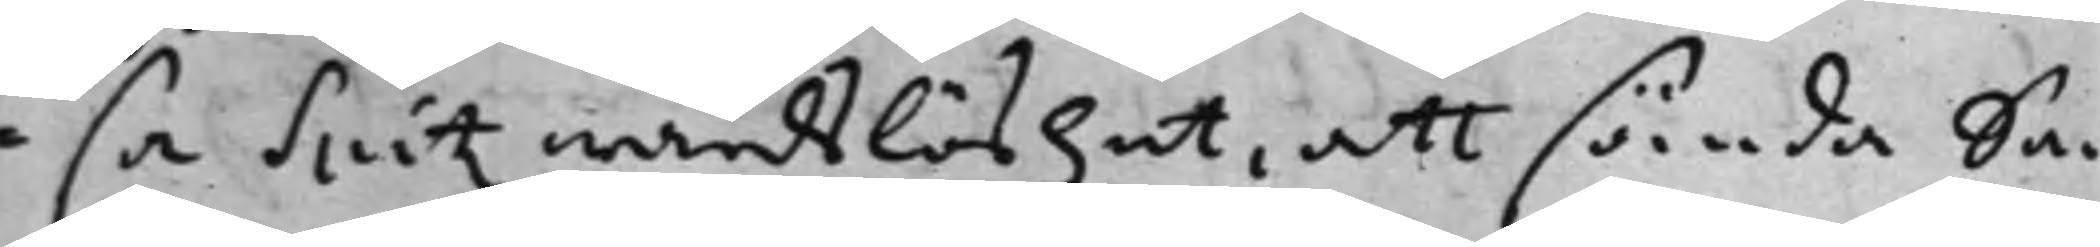sa Spitz wårdslöshet, att sända Sa¬
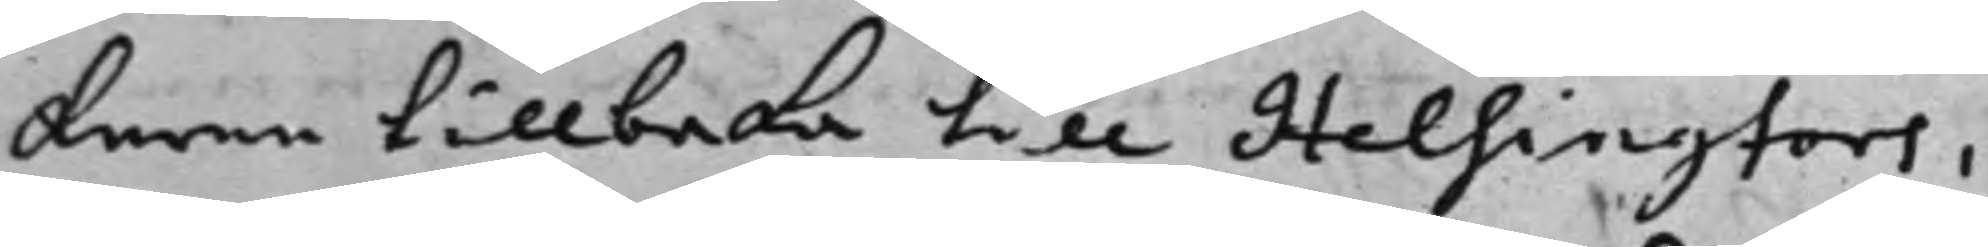kerne tillbaka till Helsingfors,
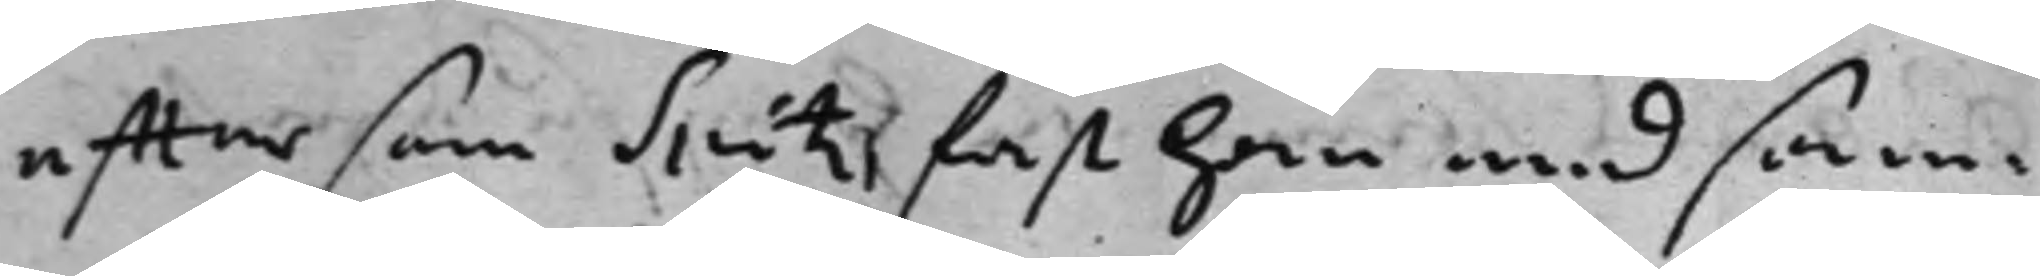efftersom Spitz fast han med sam¬
